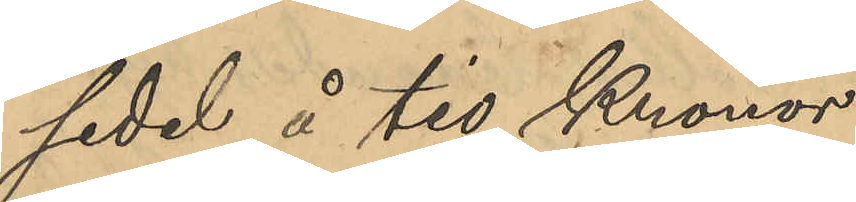sedel å tio Kronor.
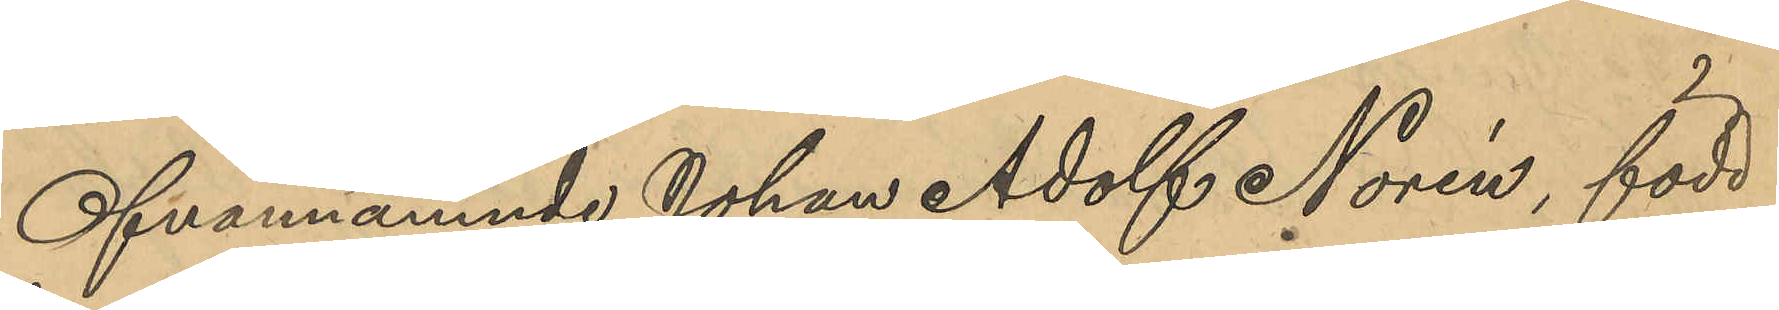Ofvannämnde Johan Adolf Norén, född
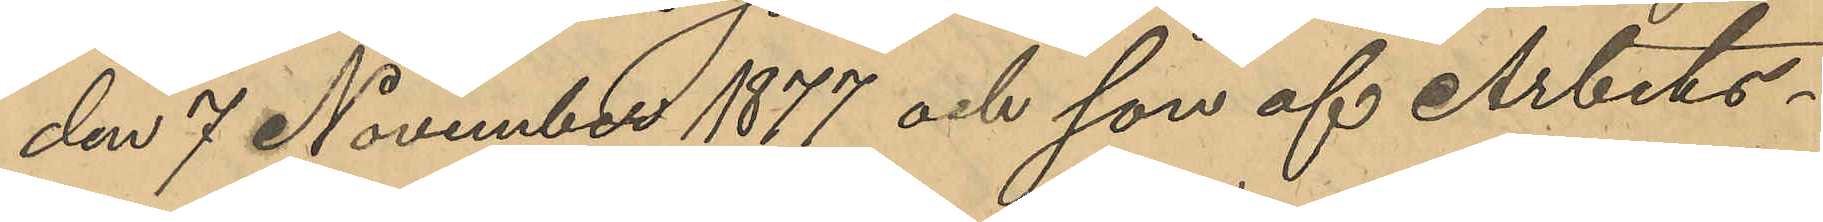den 7 November 1877 och son af Arbets¬
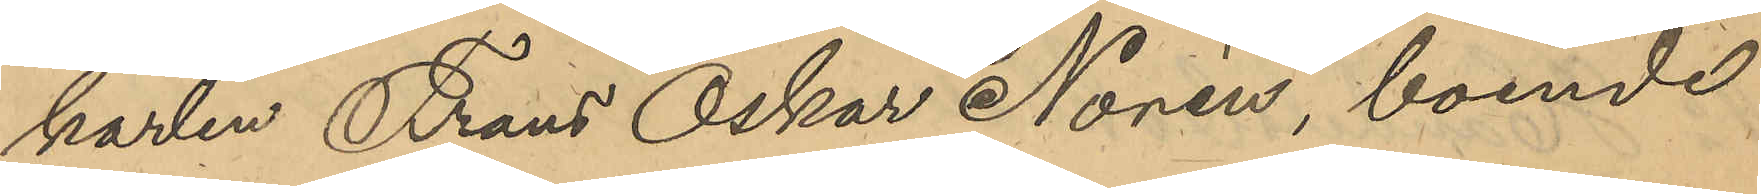karlen Frans Oskar Norén, boende
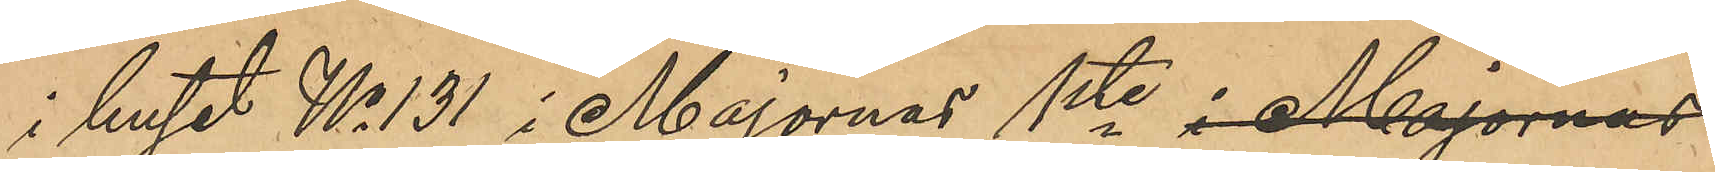i huset No 131 i Majornas 1ste i Majornas
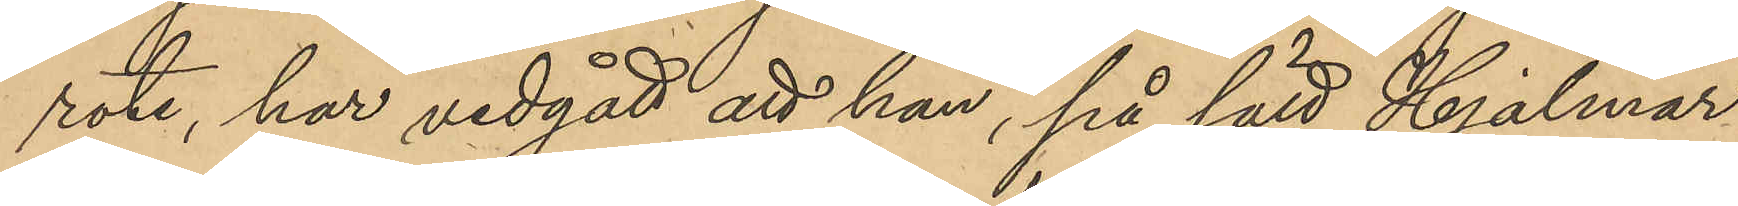rote, har vidgått att han, på sätt Hjalmar
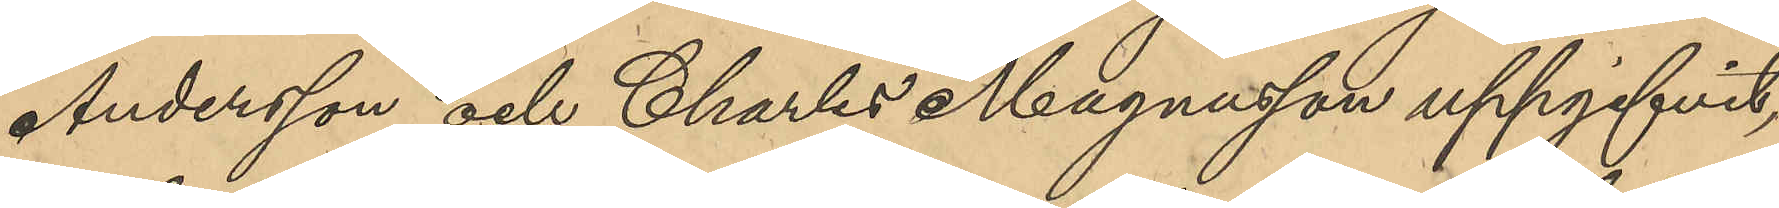Andersson och Charles Magnusson uppgifvit,
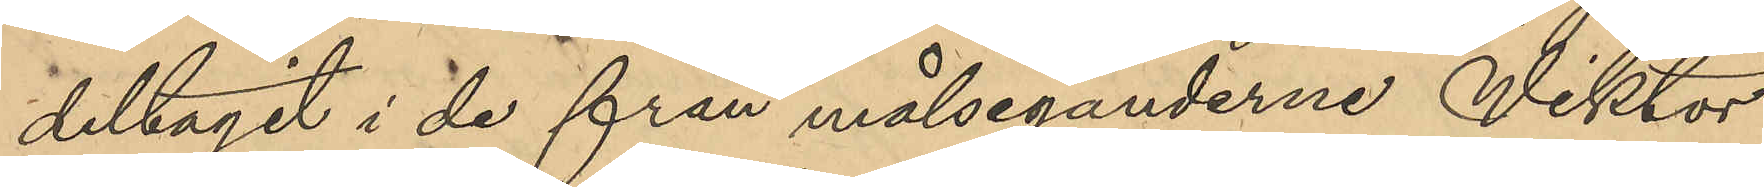deltagit i de från målseganderne Wiktor
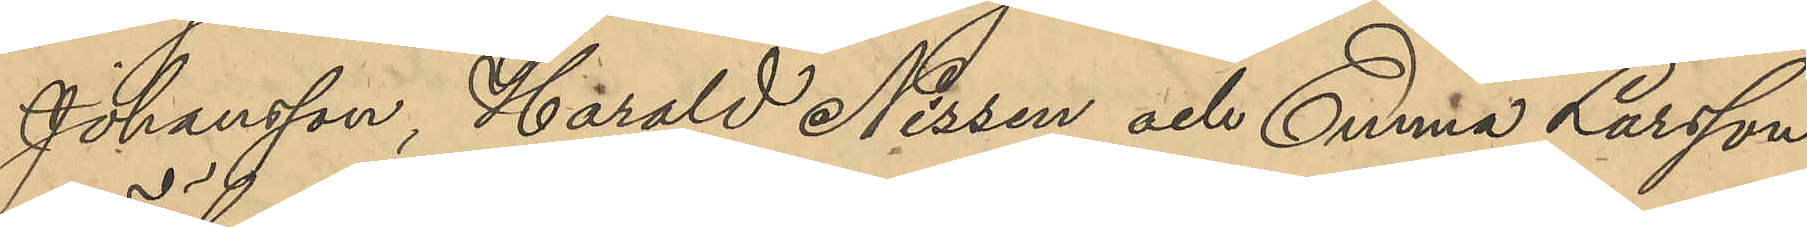Johansson, Harald Nissen och Emma Larsson
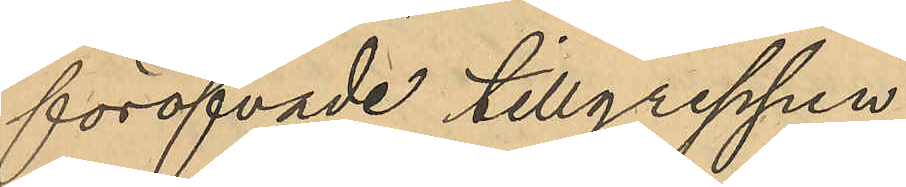föröfvade tillgreppen
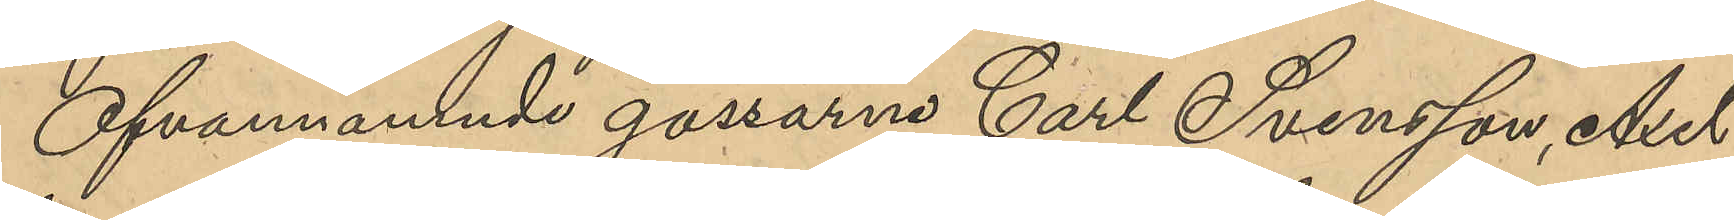Ofvannämnde gossarne Carl Svensson, Axel
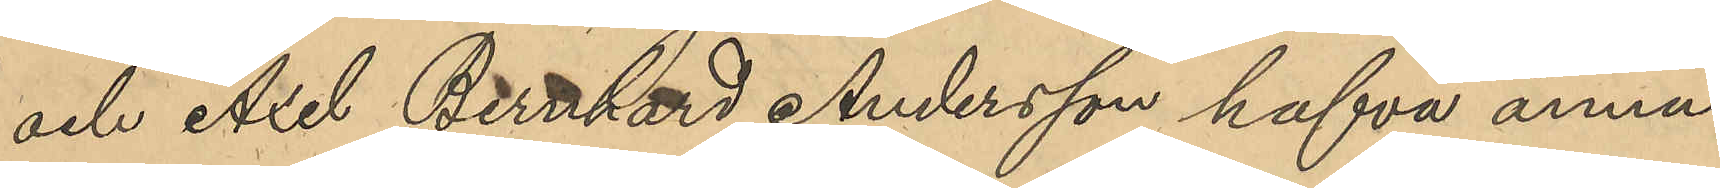och Axel Bernhard Andersson hafva ännu
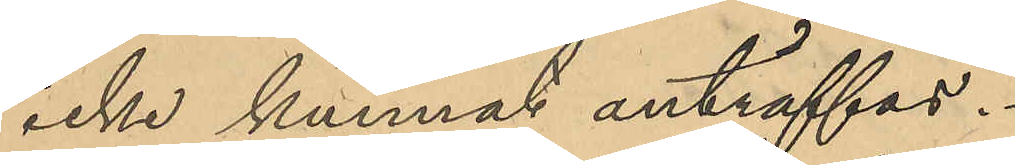icke kunnat anträffas.
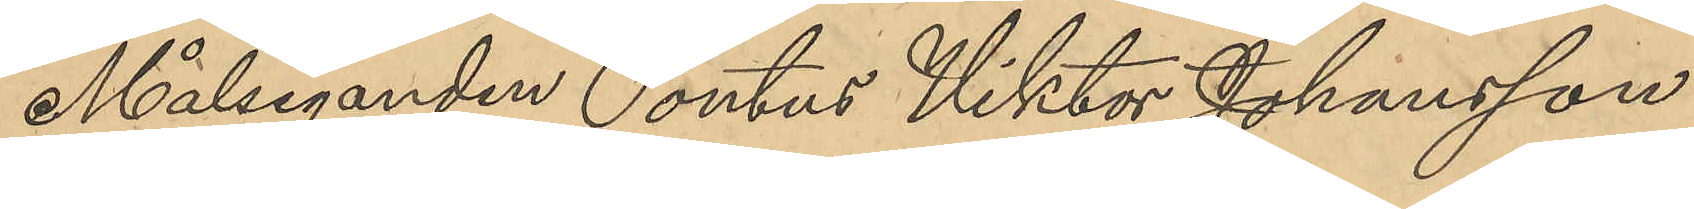Målseganden Pontus Viktor Johansson
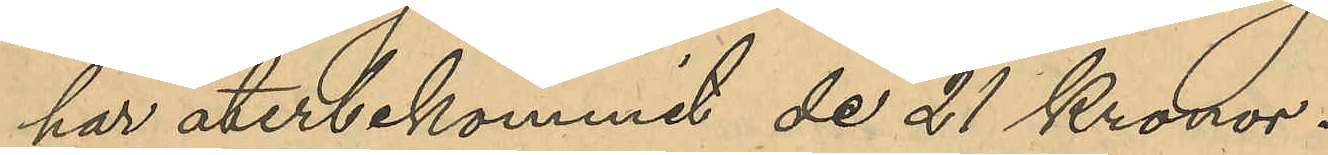har återbekommit de 21 Kronor
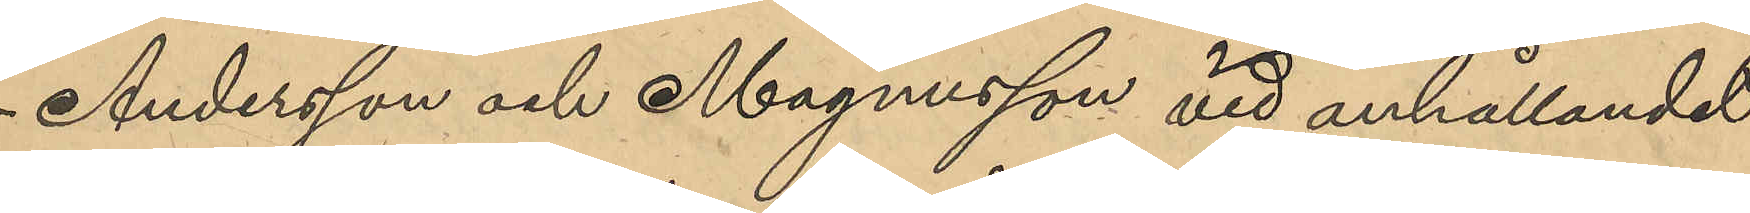Andersson och Magnusson vid anhållandet
